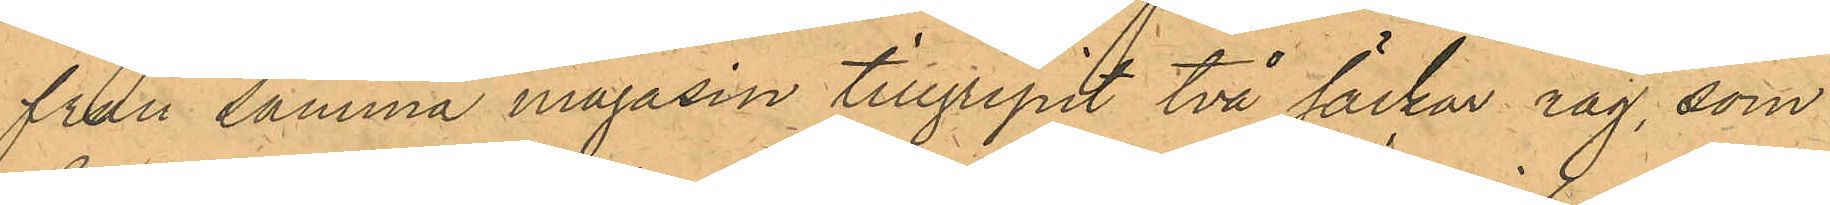från samma magasin tillgripit två säckar råg, som
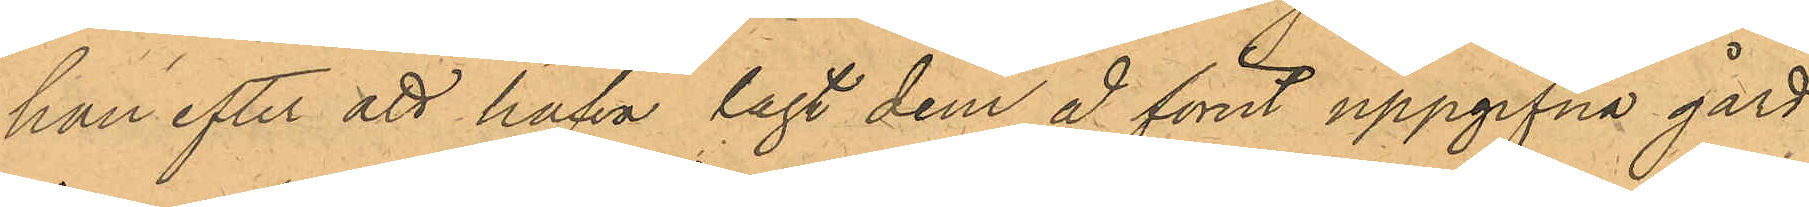han efter att hafva lagt dem å förut uppgifna gård
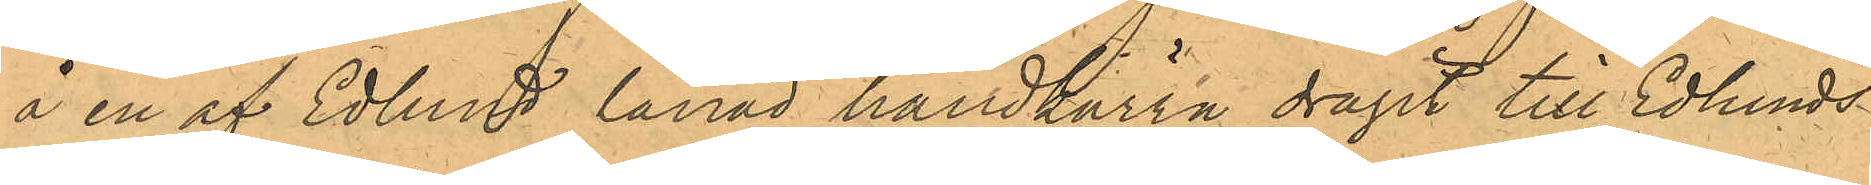å en af Edlund lånad handkärra dragit till Edlunds
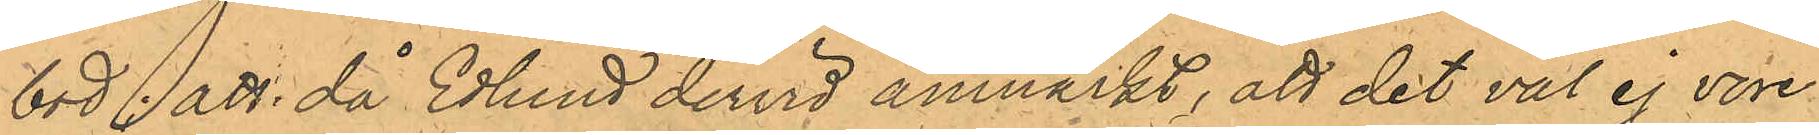bod; att då Edlund dervid anmärkt, att det väl ej vore
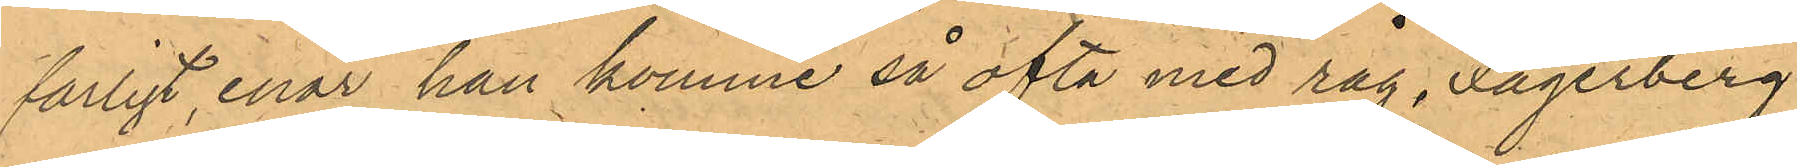farligt, enär han komme så ofta med råg, Fagerberg
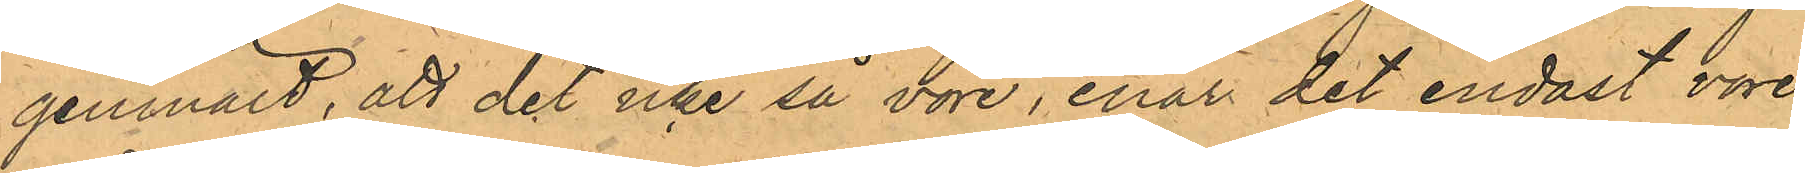genmält, att det icke så vore, enär det endast vore
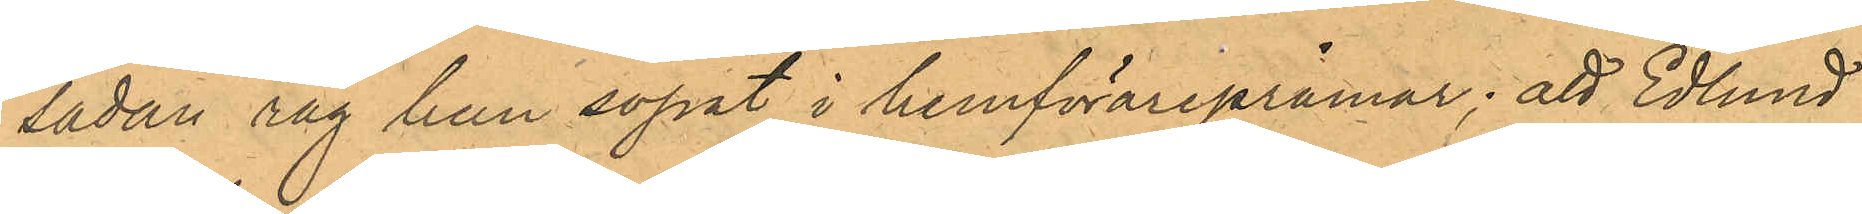sådan råg han sopat i hemförarepråmar; att Edlund
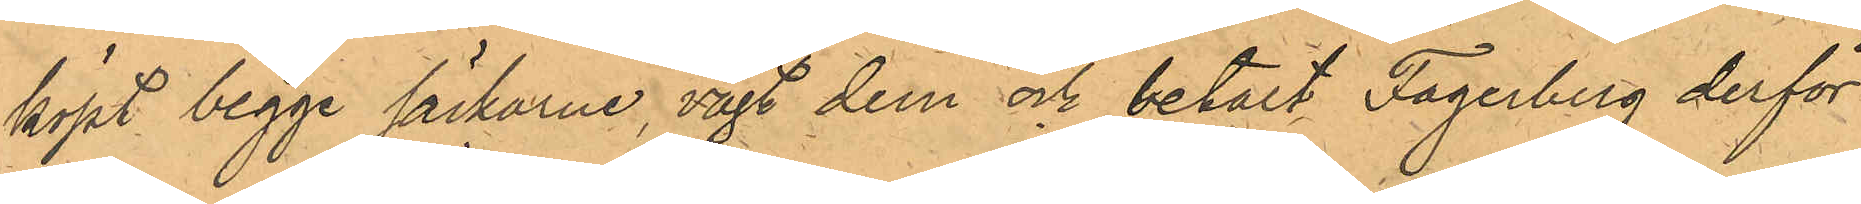köpt begge säckarne, vägt dem och betalt Fagerberg derför
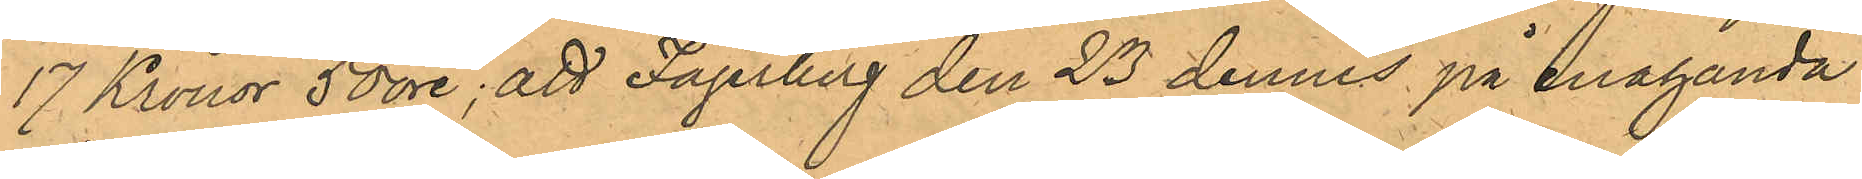17 Kronor 50 öre; att Fagerberg den 23 dennes på enahanda
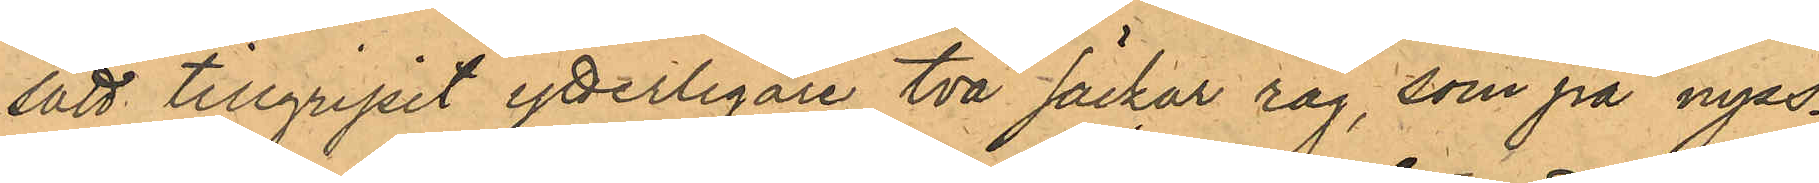sätt tillgripit ytterligare två säckar råg, som på nyss¬
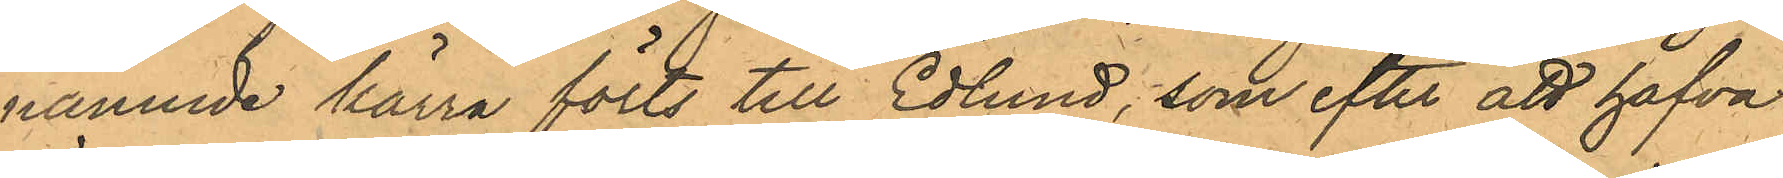nämnde kärra förts till Edlund, som efter att hafva
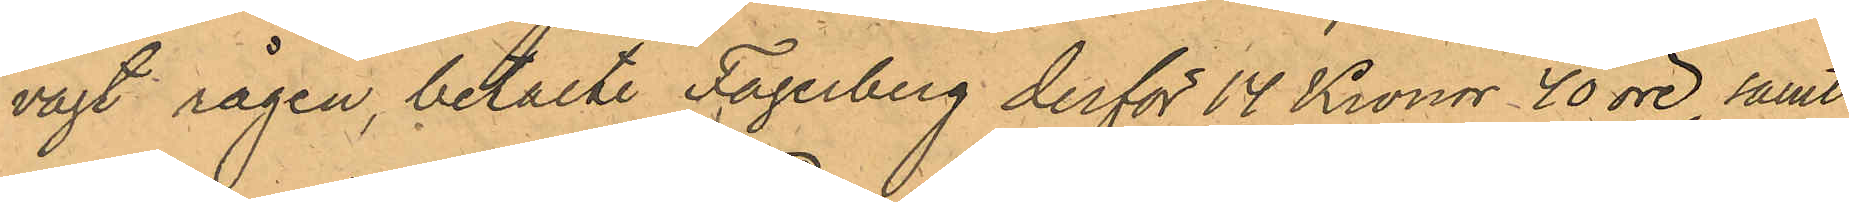vägt rågen, betalte Fagerberg derför 14 Kronor 40 öre samt
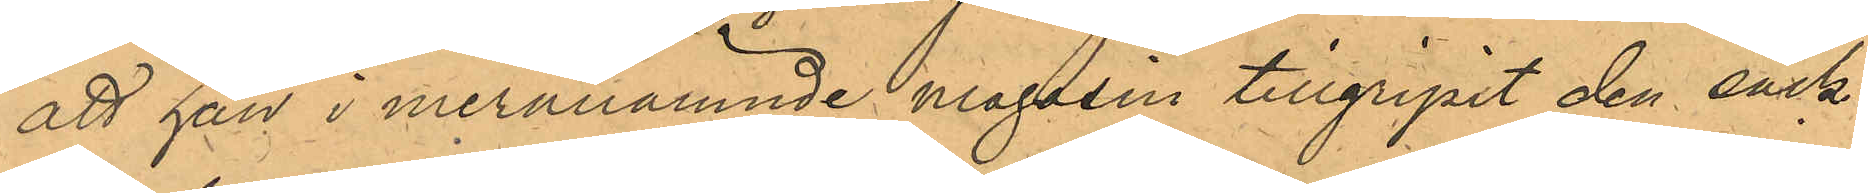att han i meranämnde magssin tillgripit den säck;
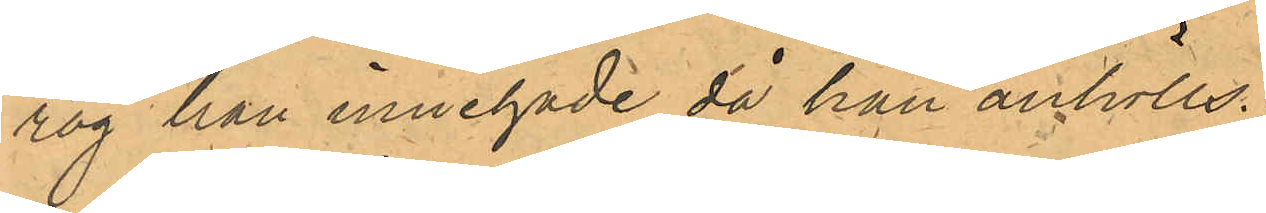råg han innehade då han anhölls.
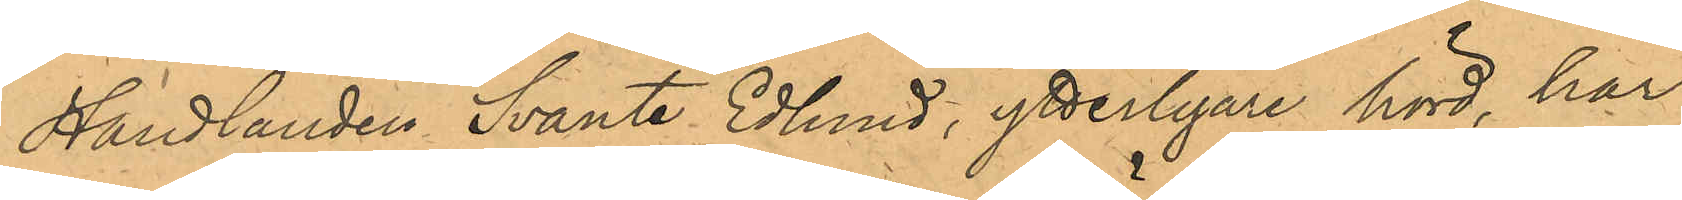Handlanden Svante Edlund, ytterligare hörd, har
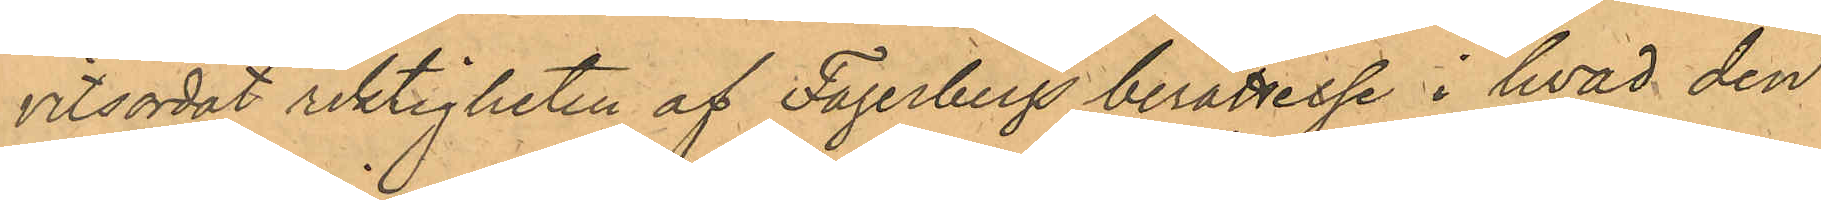vitsordat riktigheten af Fagerbergs berättelse i hvad den
